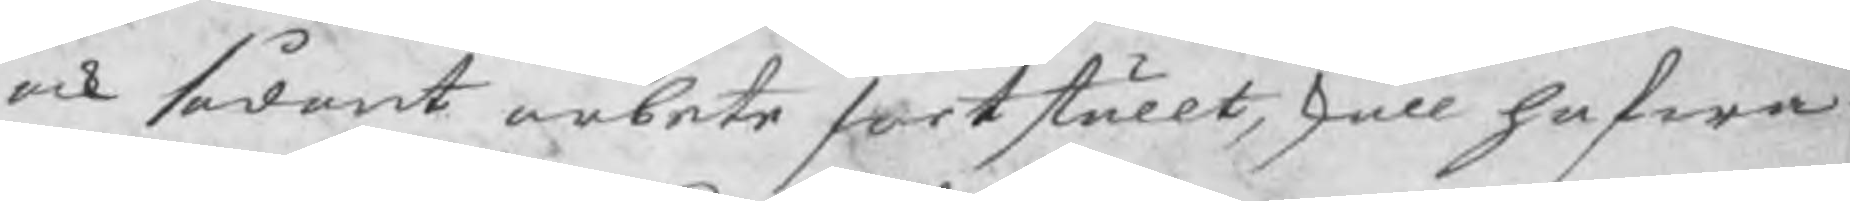ock sådant arbete fortställt, skall hafwa
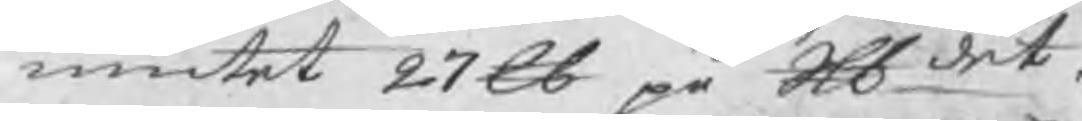niutet 27 ℔ på Skldet.
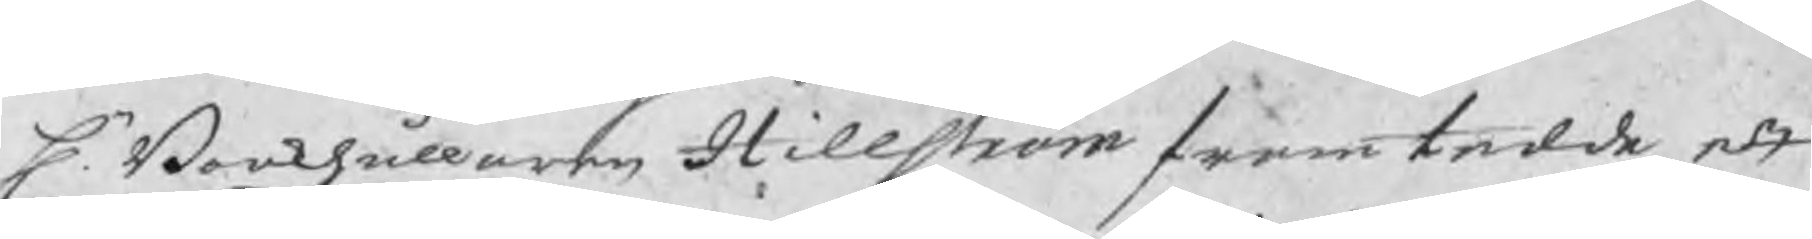Hr. Bookhållaren Hillström framtedde ett
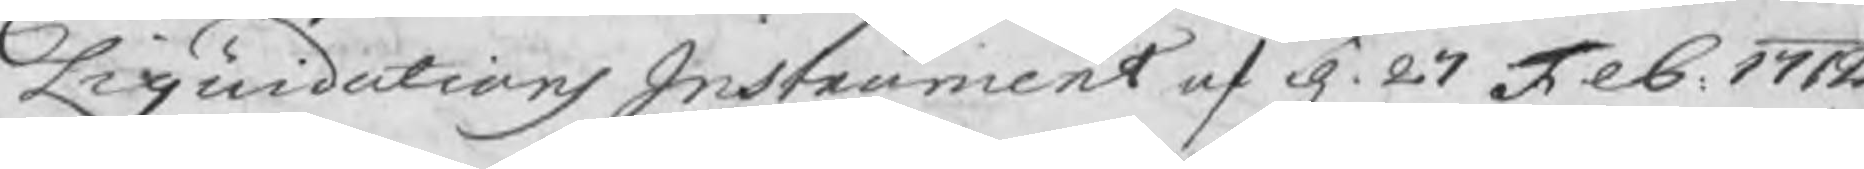Liquidations Instrument af d. 27 Feb. 1712
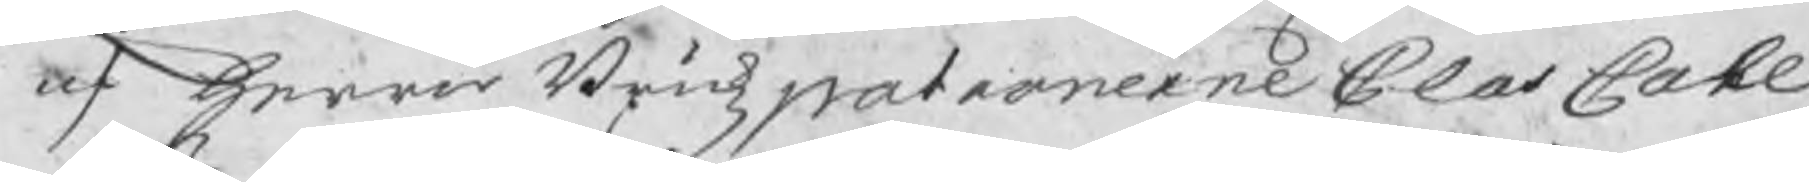af herrar Brukzpatronerne Clas Cahl
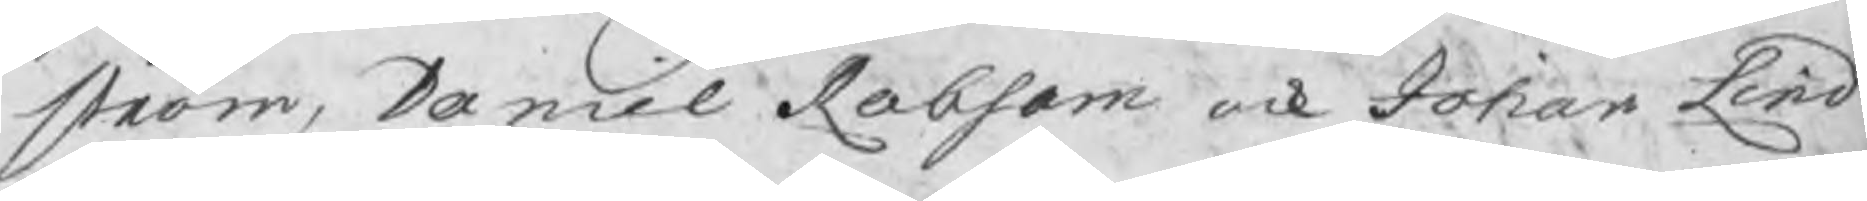ström, Daniel Robsam ock Johan Lind
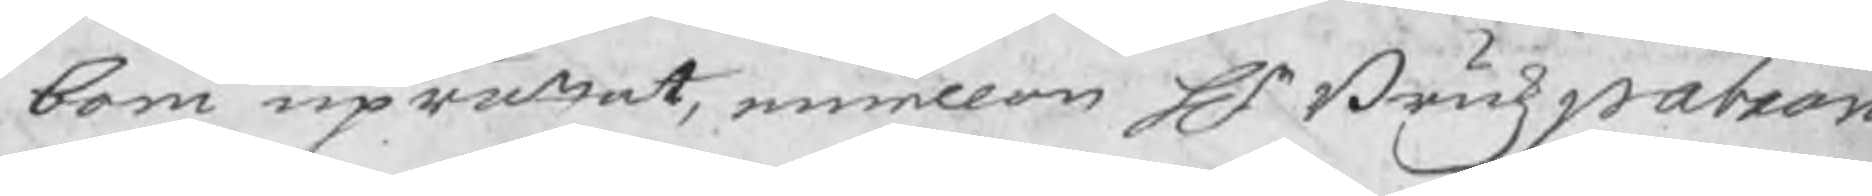bom uprättat, emellan Hr Brukzpatron
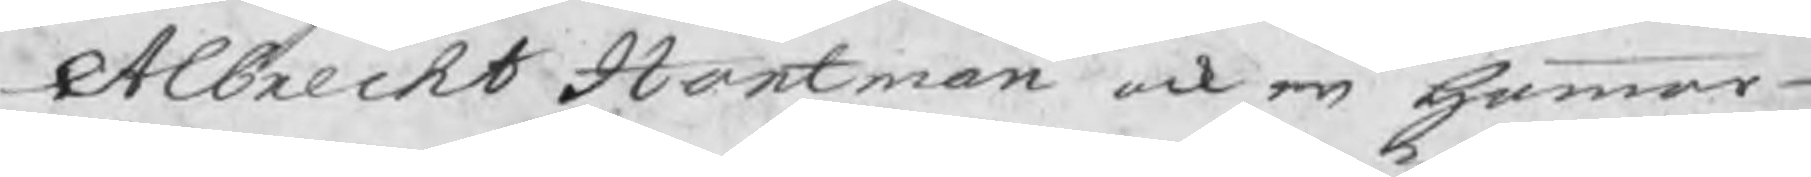Albrecht Hartman ock en hammar-
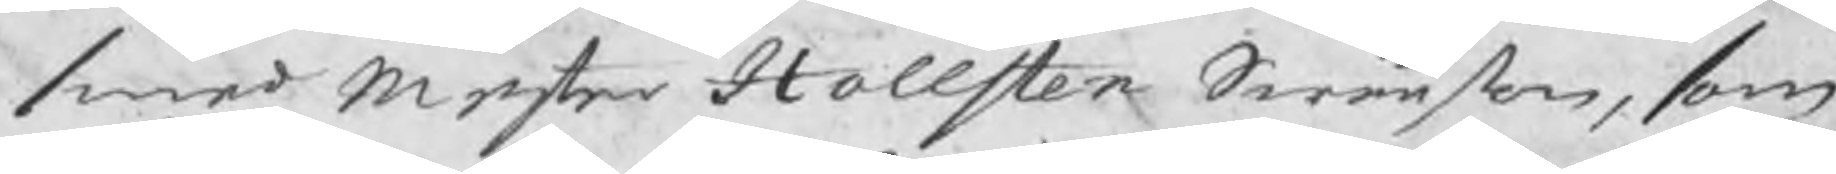smed mester Hollsten Swänson, som
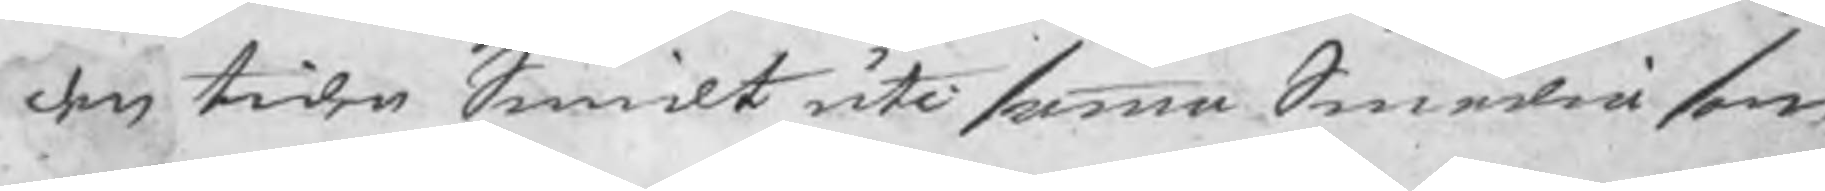den tiden Swmidt uti samma Smedia som
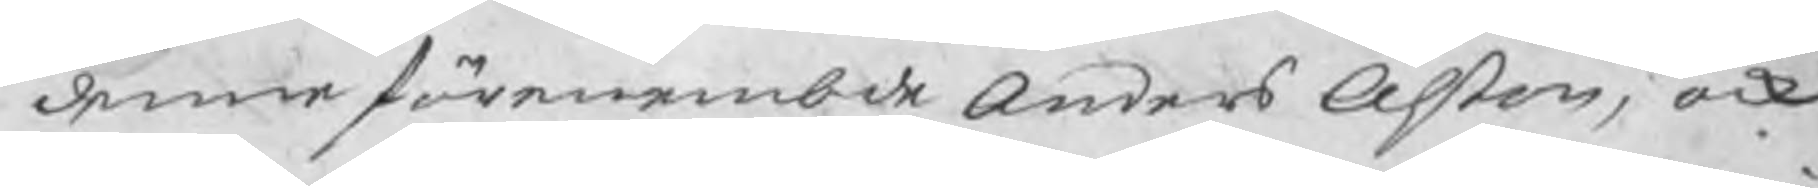denne förenembde Anders Olson, ock
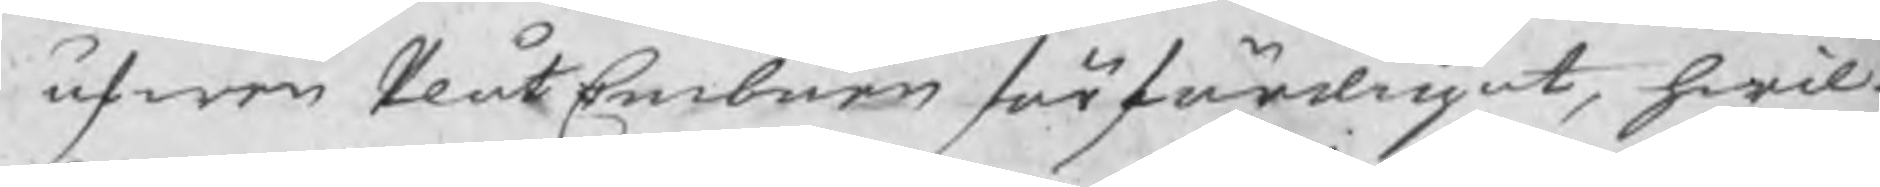äfwen PlåtEmbnen förfärdrigat, hwil-
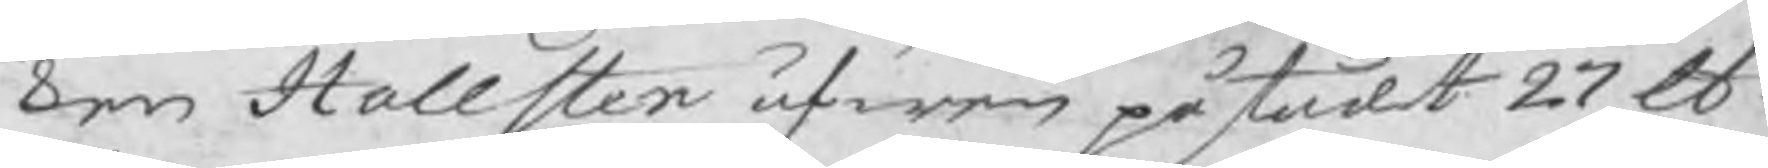ken Hollsten äfwen påstådt 27 lb
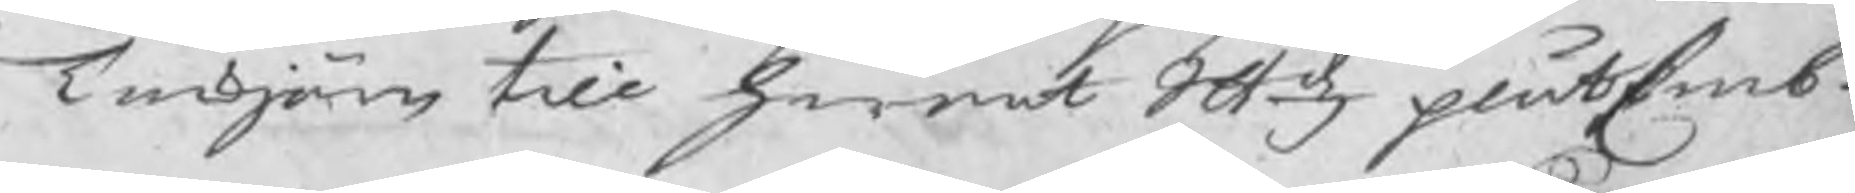Tackjärn till hwart Skld plåtEmb-
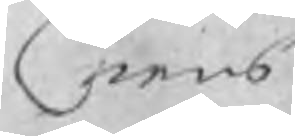nens
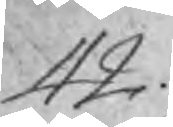42.
